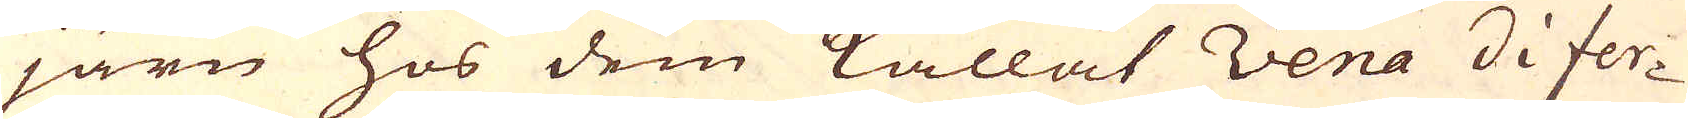järn hos dem kallat Vena di fer-
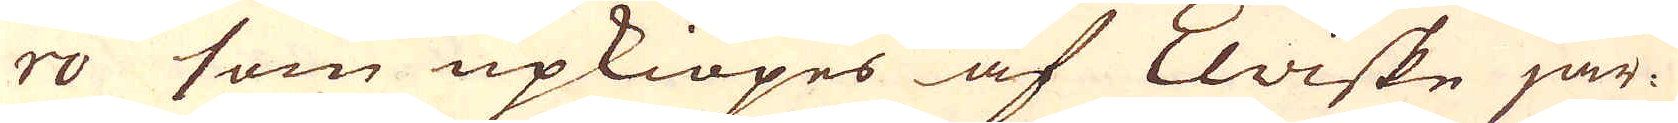ro som upkiöpes af Elviske jär-
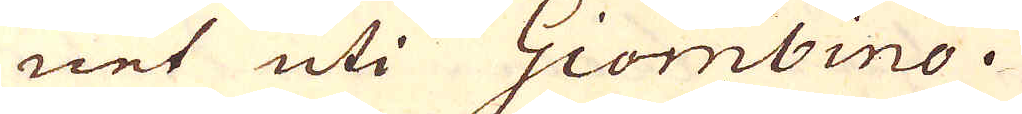net uti Giombino.
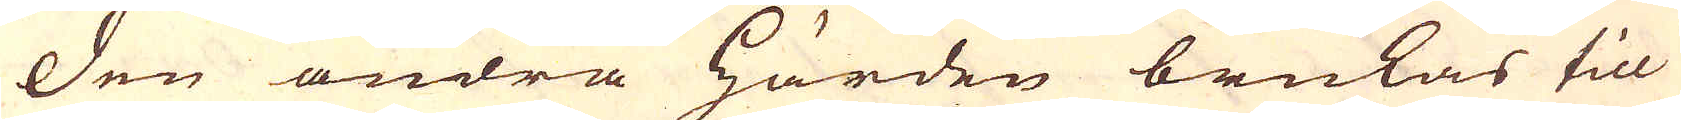Den andra härden brukas till
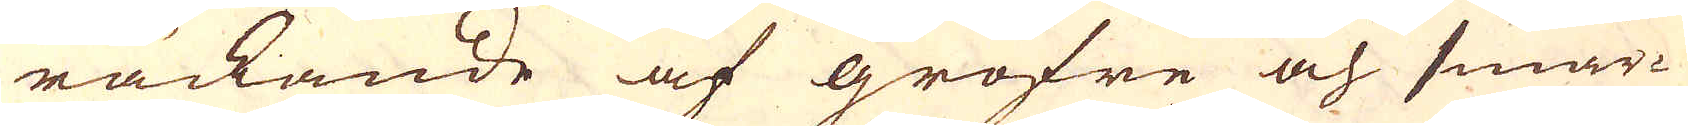räckande af gröfre och smär-
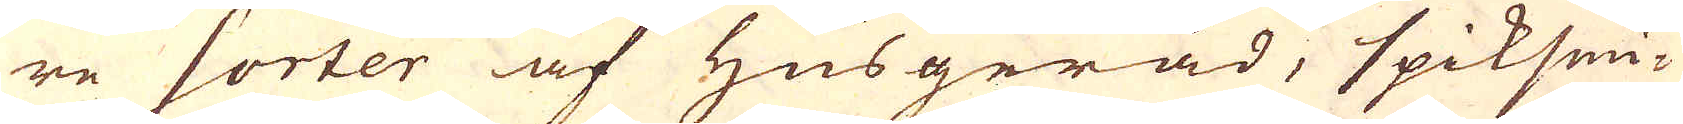re sorter af Husgeråd, spiksmi-
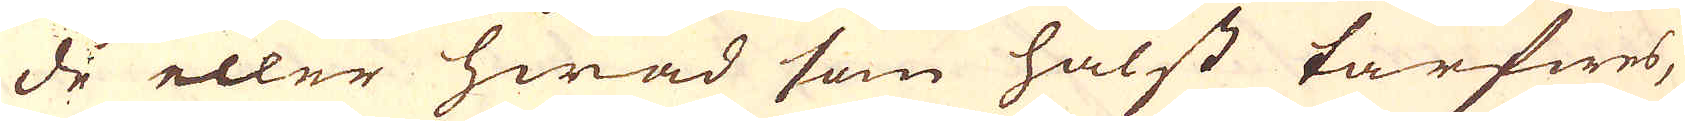de eller hwad som hälst tarfwes,
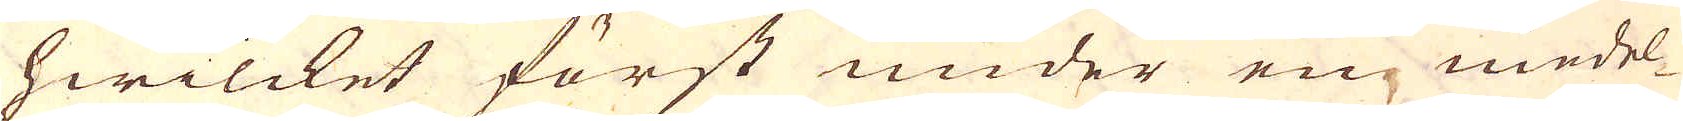hwilcket först under en medel-
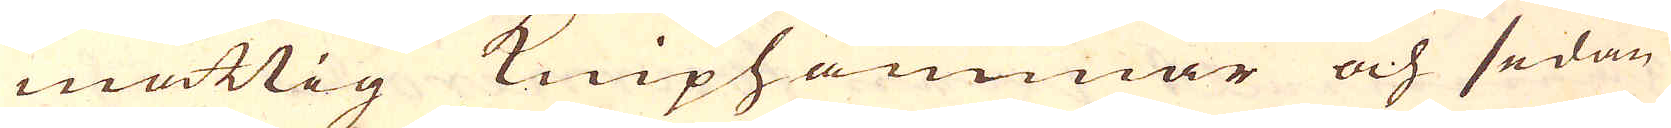måttig Kniphammar och sedan
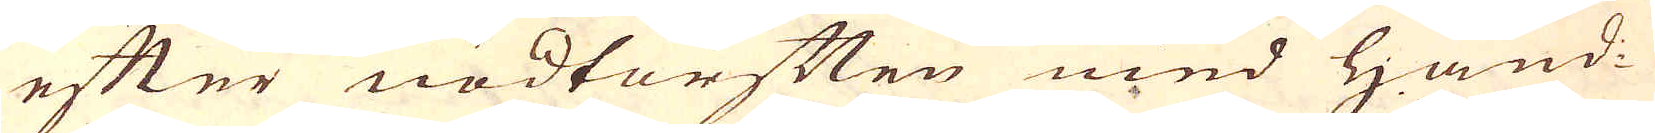efter nödtorften med Hand-
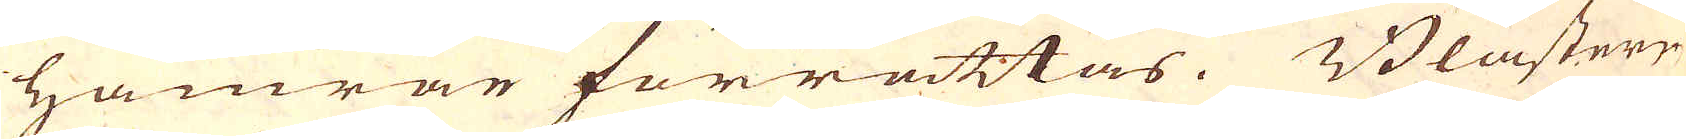hamrar förrättas. Blästern
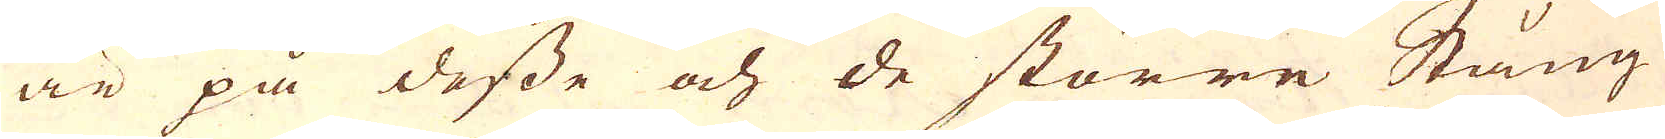är på desse och de större Stång
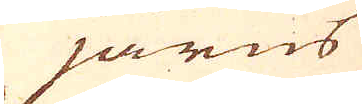järns
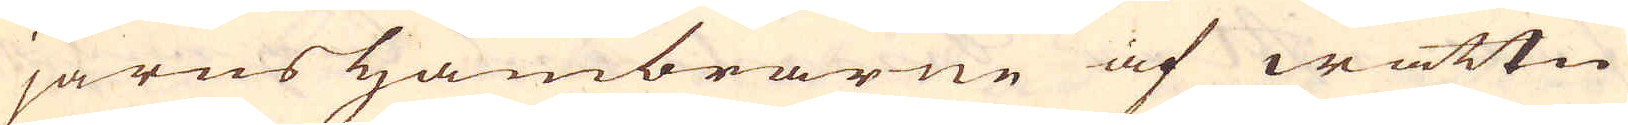järns hambrarne af wattn
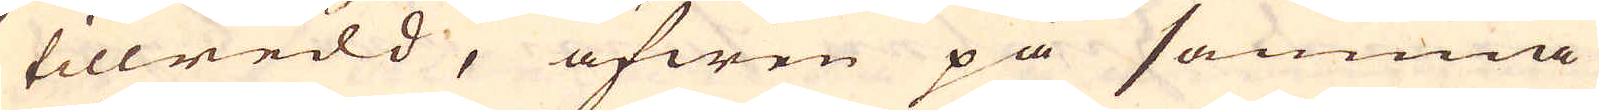tillredd, äfwen på samma
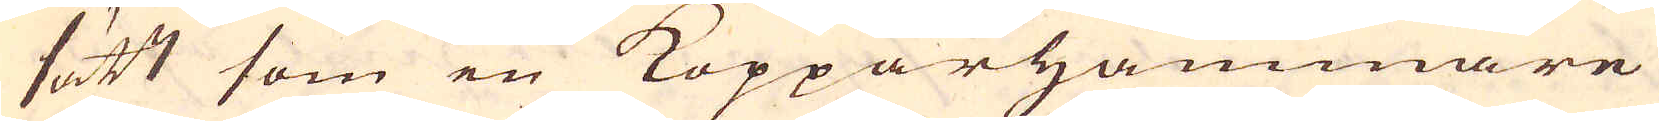sätt som en Kopparhammare
